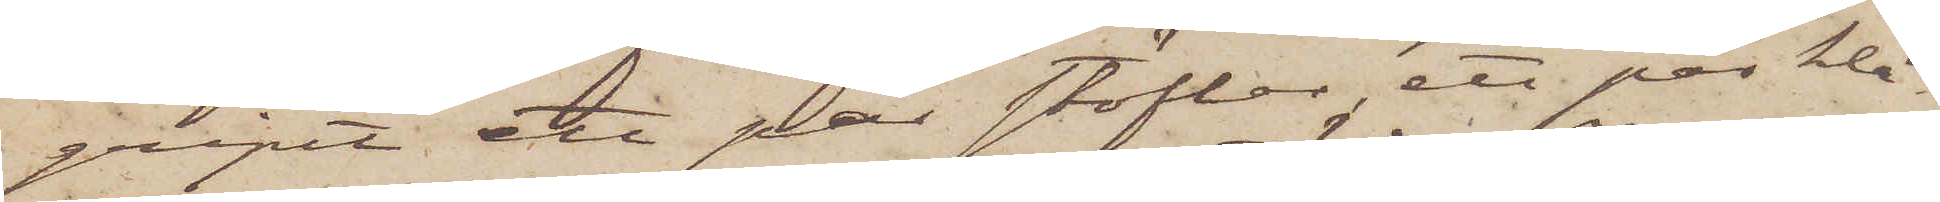gripit ett par stöflar, ett par klä¬
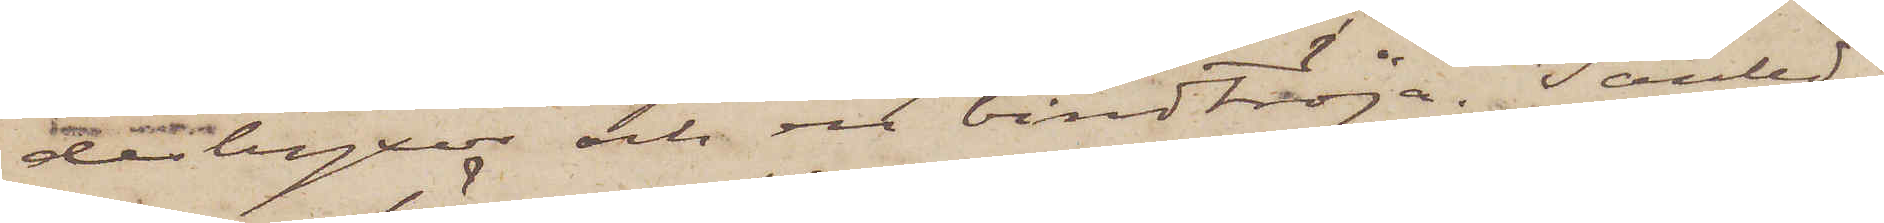desbyxor och en bindtröja. I anled¬
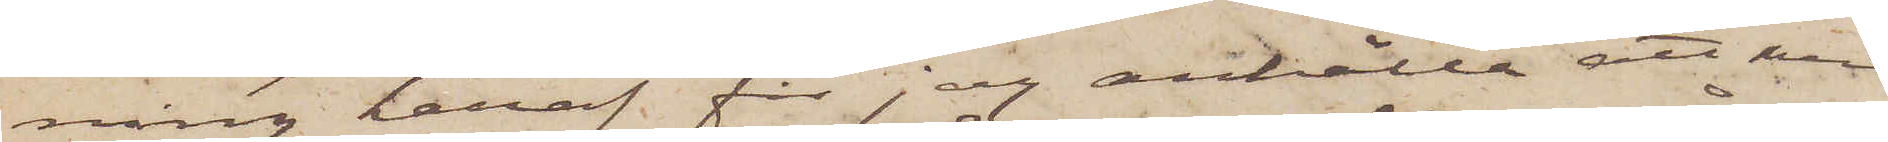ning häraf får jag anhålla att med
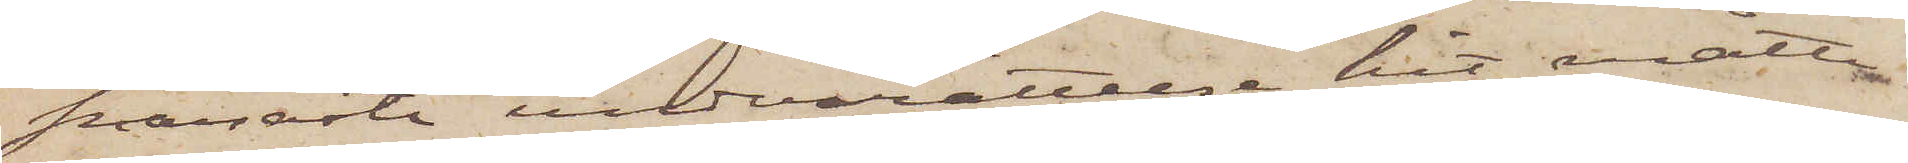snaraste underrättelse hit måtte
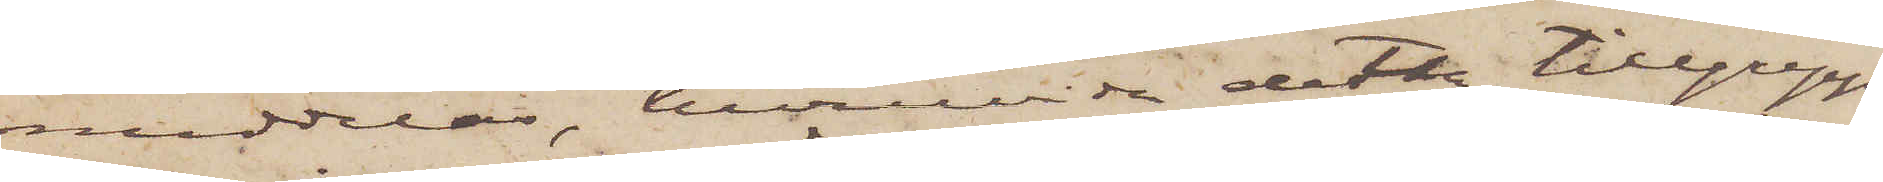meddelas, huruvida detta tillgrepp
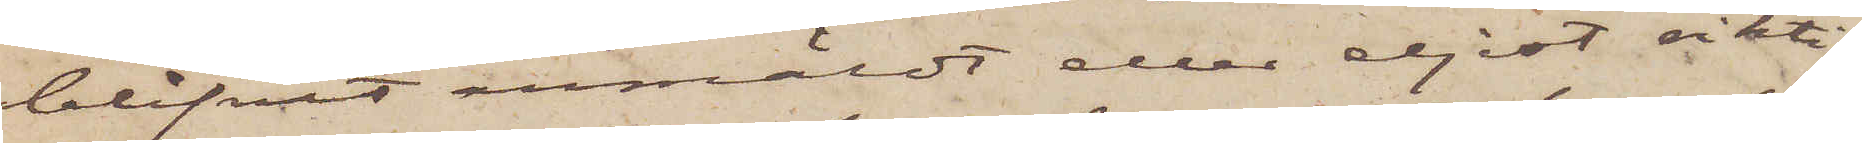blifvit anmäldt eller eljest riktig¬
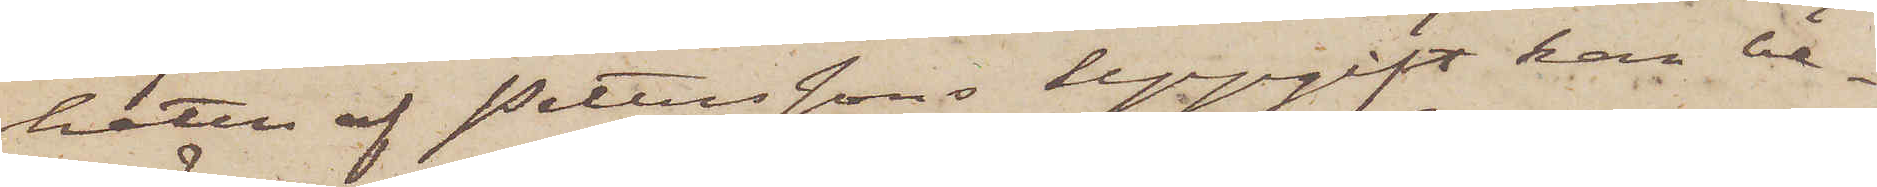heten af Peterssons uppgift kan be¬
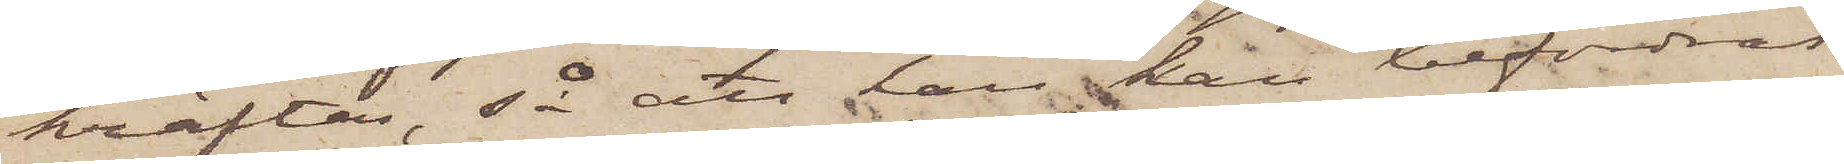kräftas, så att han kan befordras
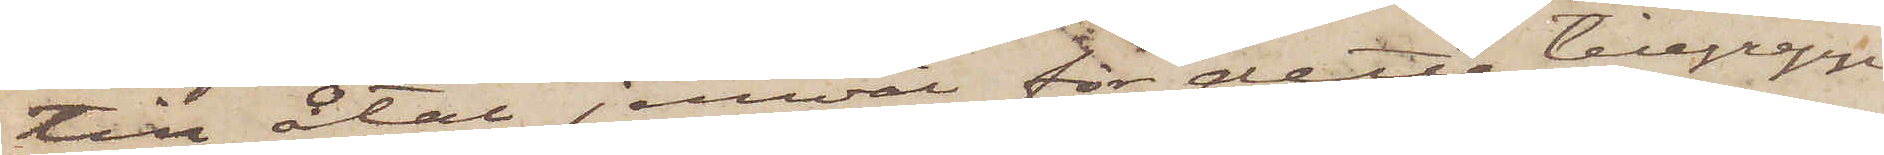till åtal jemväl för detta tillgrepp
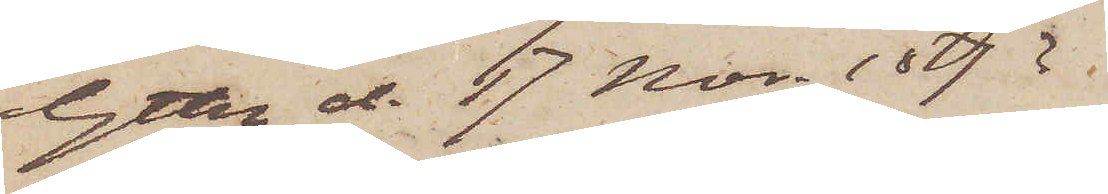Gtbg d. 17 Nov. 1873.
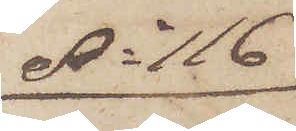No 116
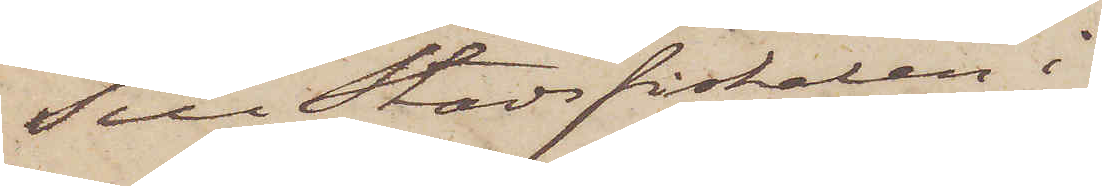Till Stadsfiskalen i
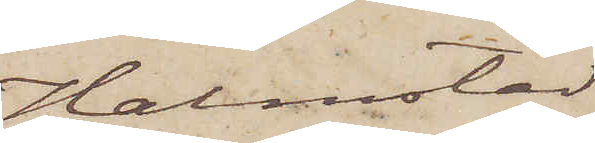Halmstad
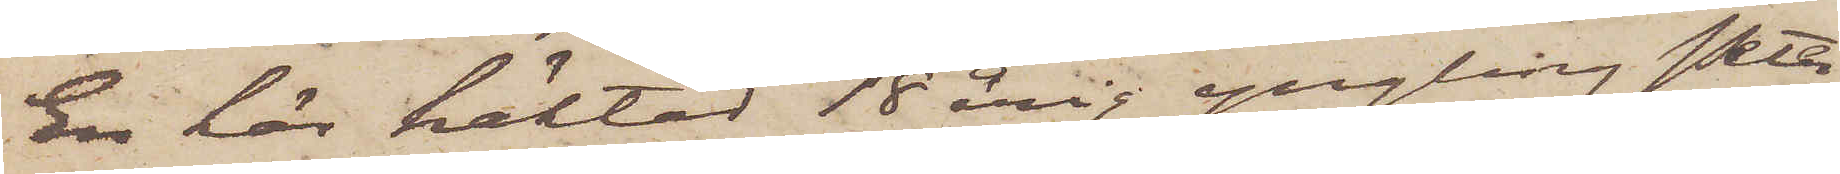En här häktad 18 årig yngling Peter
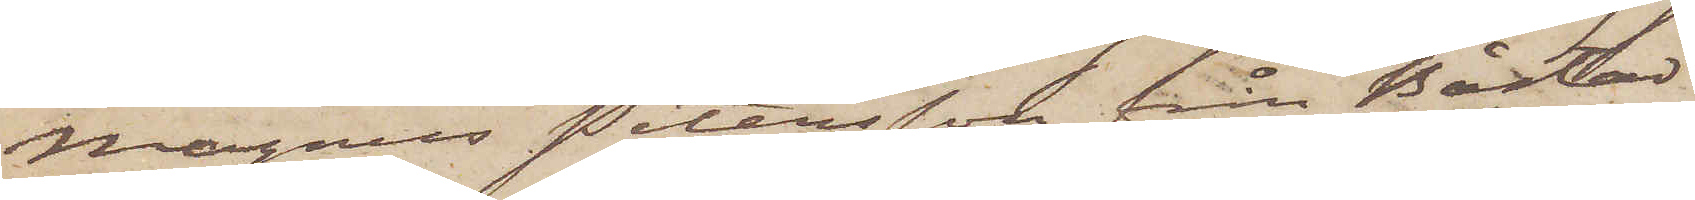Magnus Petersson från Båstad i
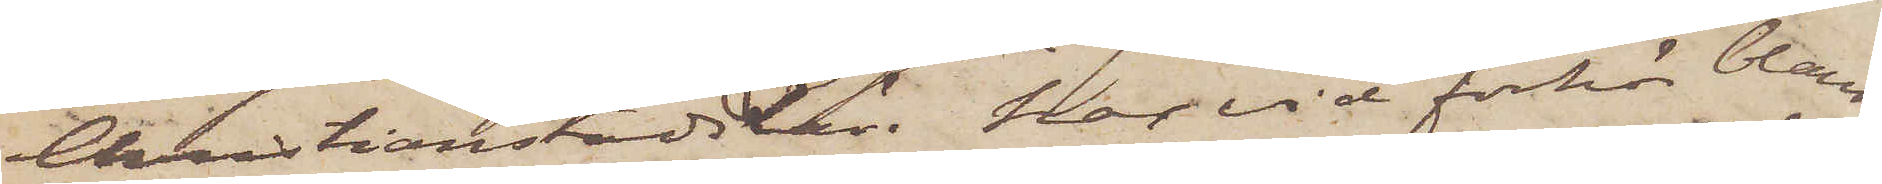Christianstads Län, har vid förhör bland
